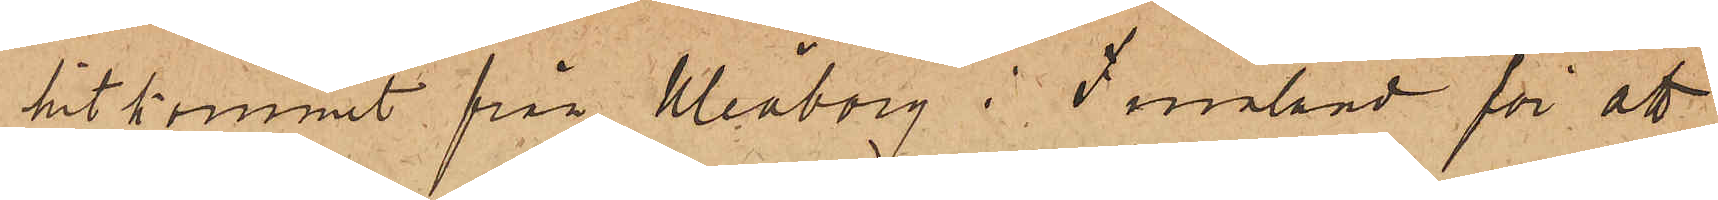hitkommit från Uleåborg i Finland för att
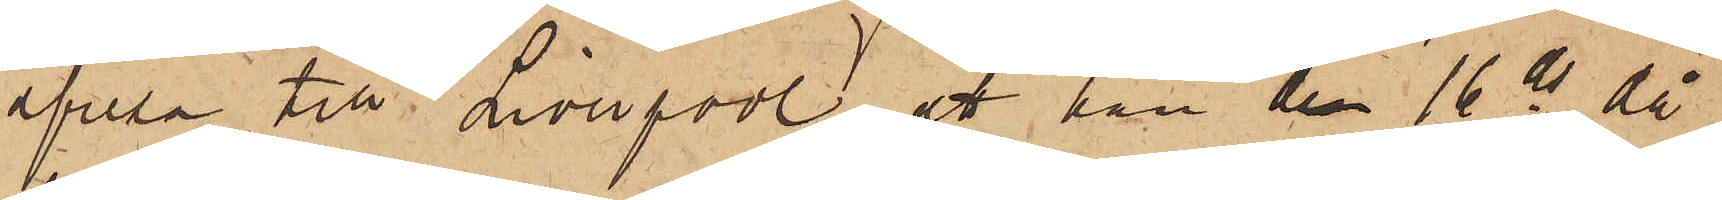afresa till Liverpool, att han den 16 ds då
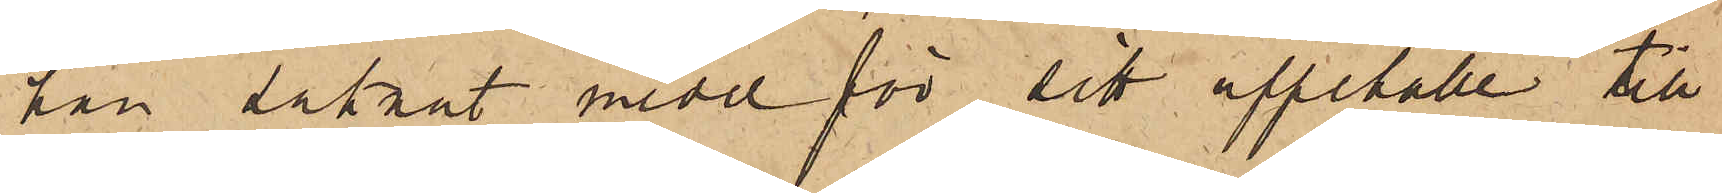han saknat medel för sitt uppehälle till
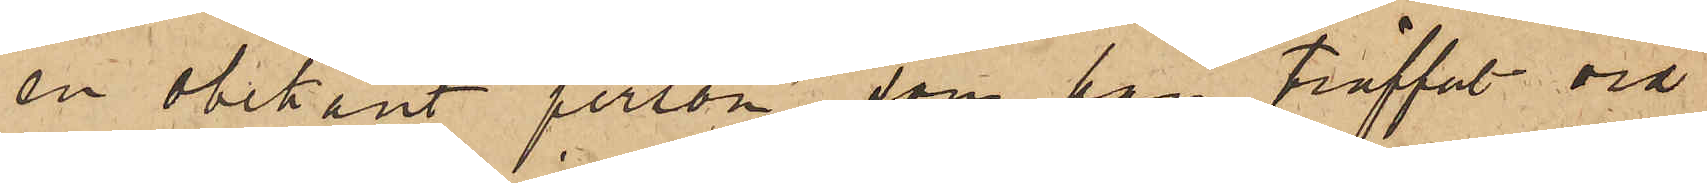en obekant person, som han träffat vid
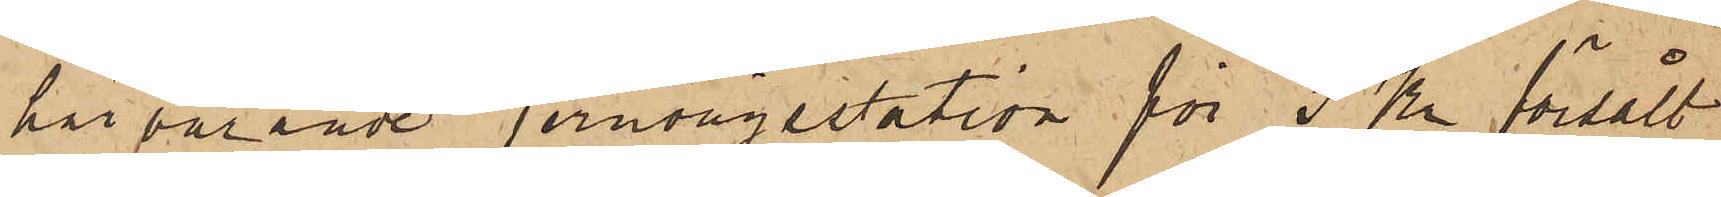härvarande jernvägsstation för 3 Kr försålt
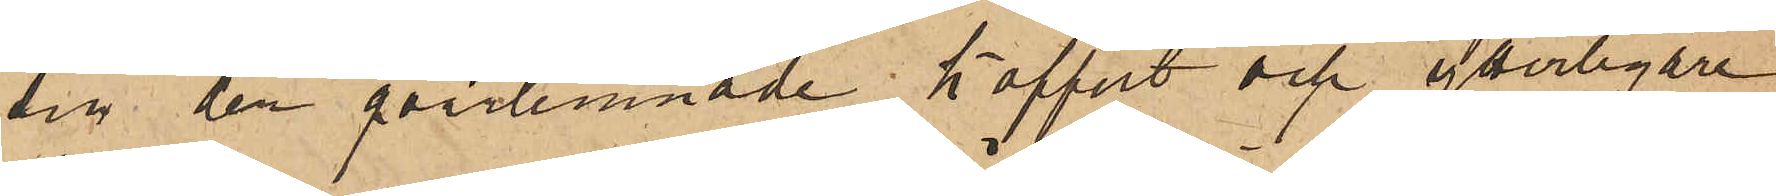sin der qvarlemnade koffert och ytterligare
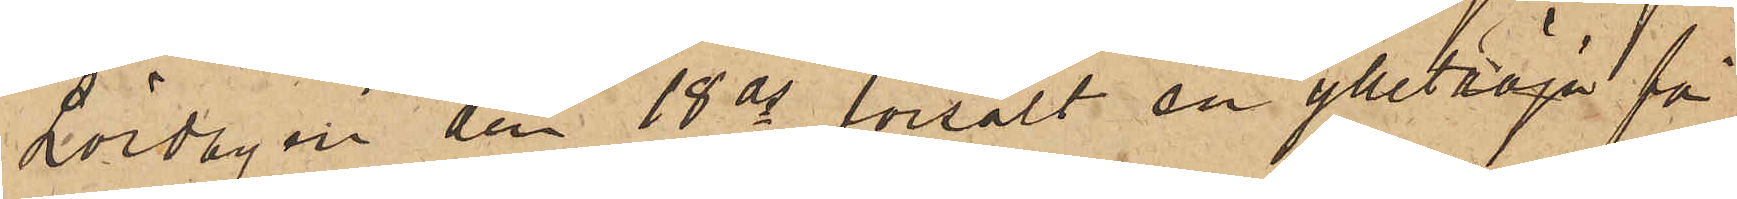Lördagen den 18 ds försålt en ylletröja för
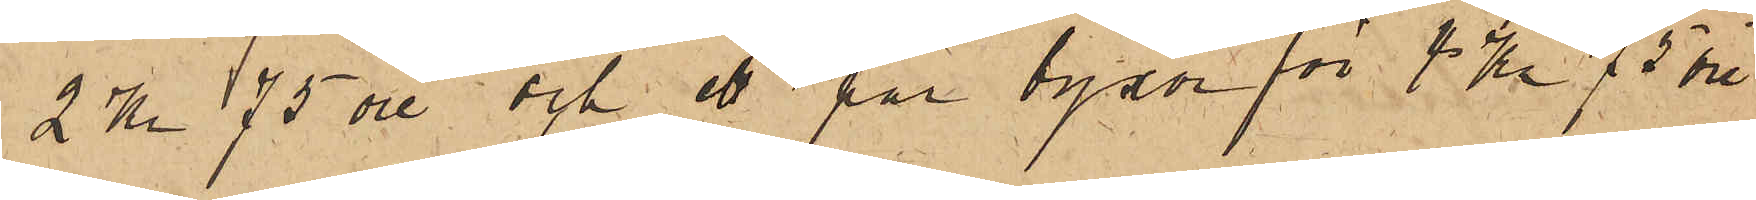2 Kr 75 öre; och ett par byxor för 1 Kr. 75 öre,
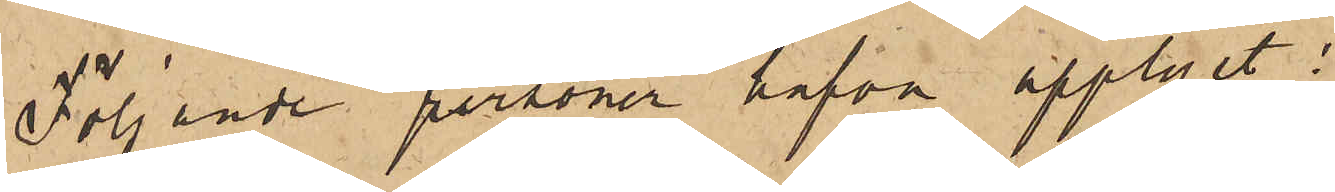Följande personer hafva upplyst:
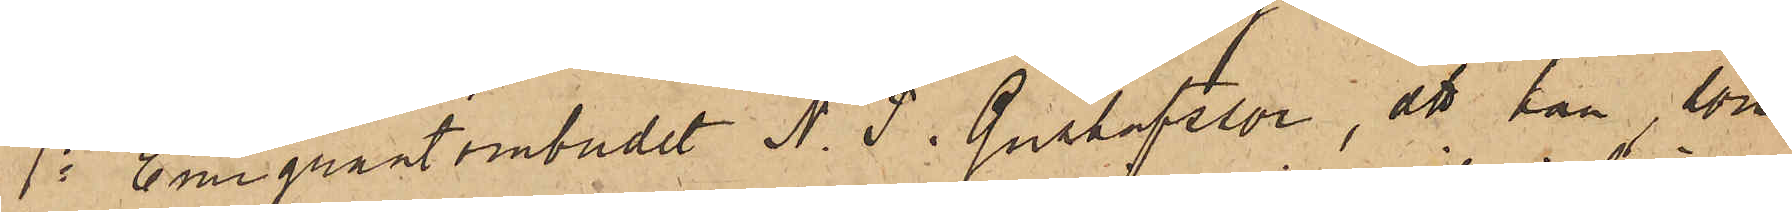1o Emigrantombudet N. P. Gustafsson, att han, som
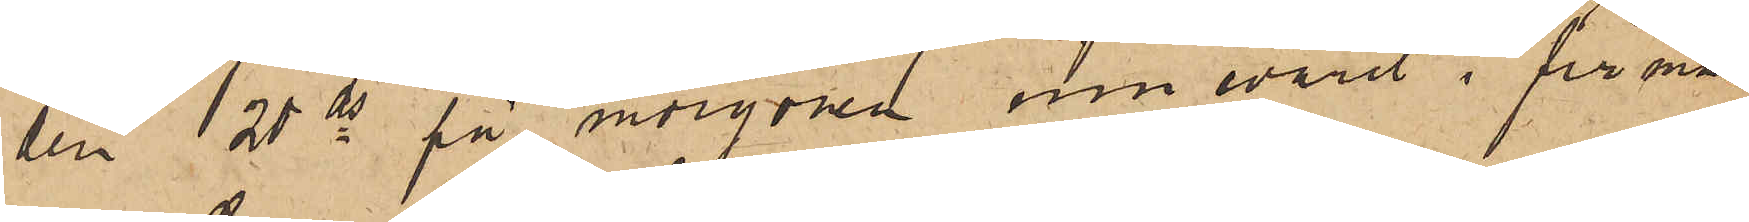den 20 ds på morgonen innevarit i firman
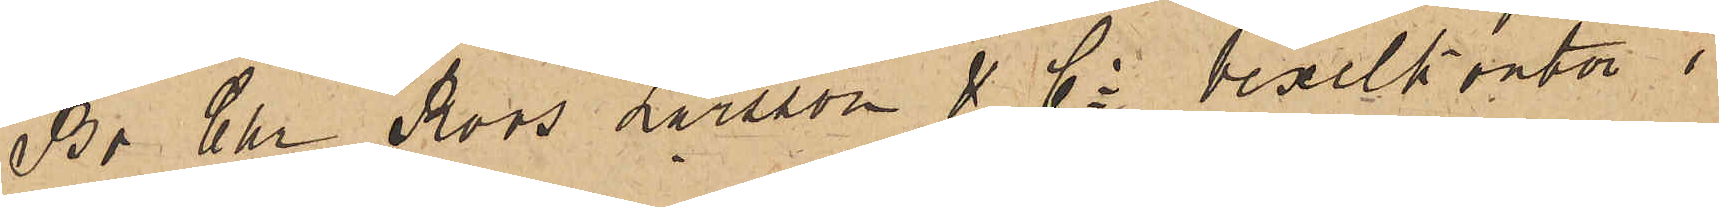Br Chr Roos Larsson & Co vexelkontor i
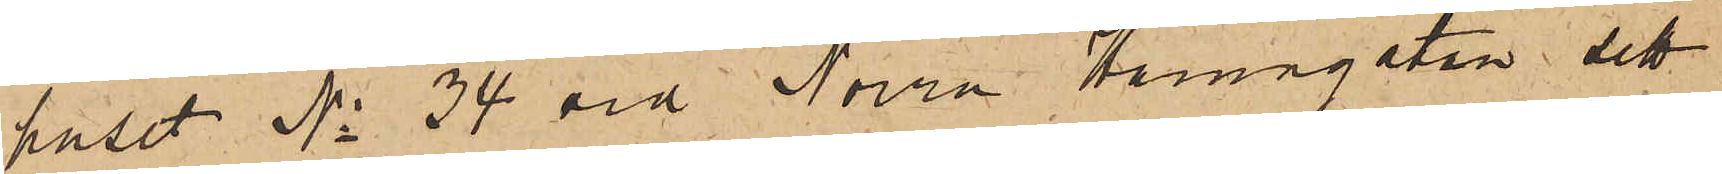huset No 34 vid Norra Hamngatan, sett
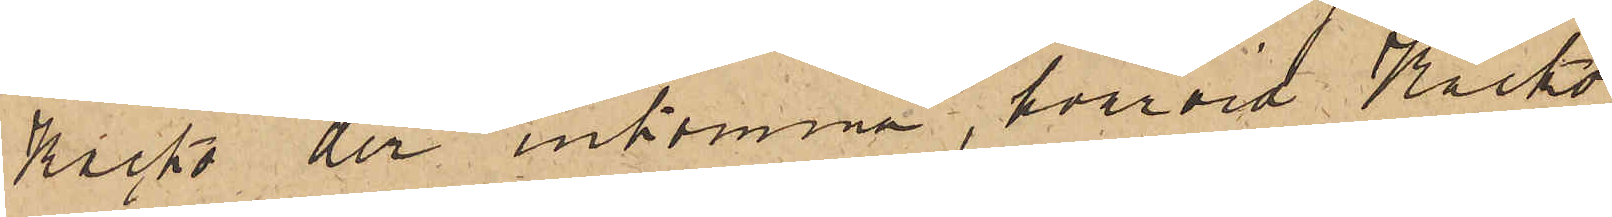Kacko der inkomma, hvarvid Kacko
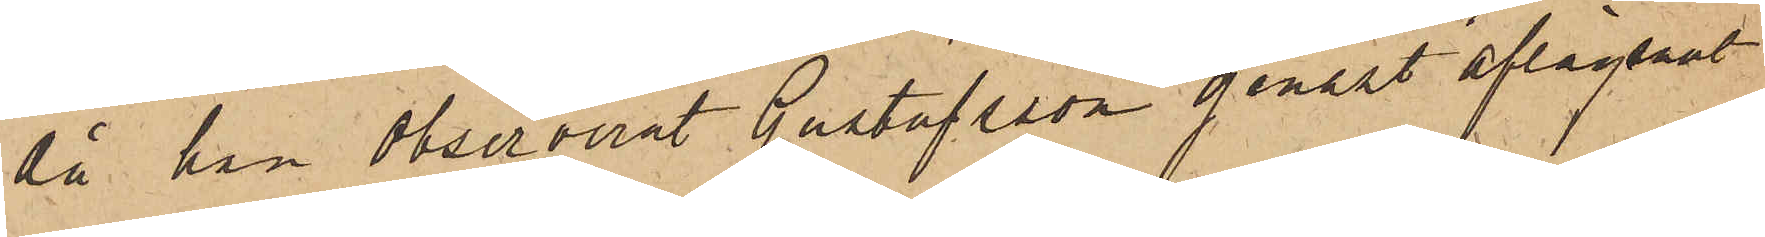då han observerat Gustafsson genast aflägsnat
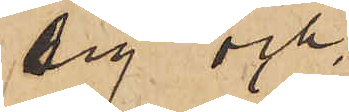sig och
